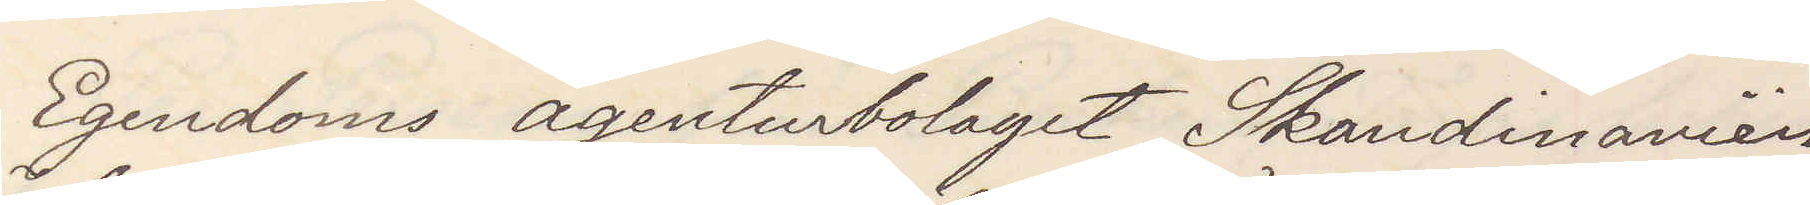Egendoms agentbolaget Skandinavien
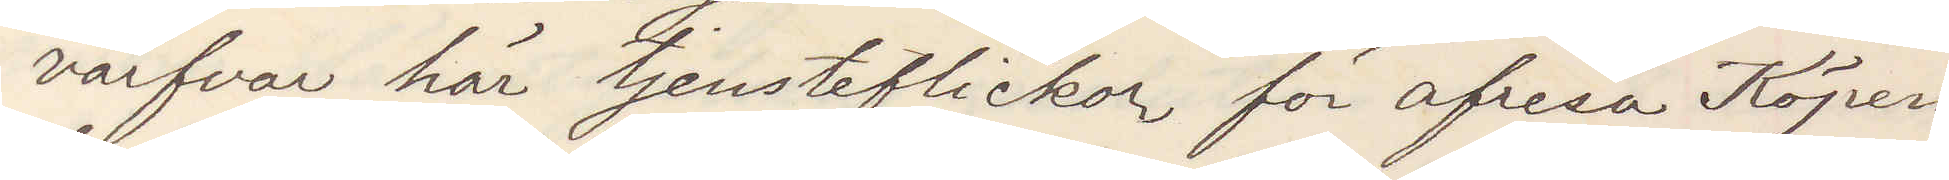värfvar här tjensteflickor för afresa Köpen¬
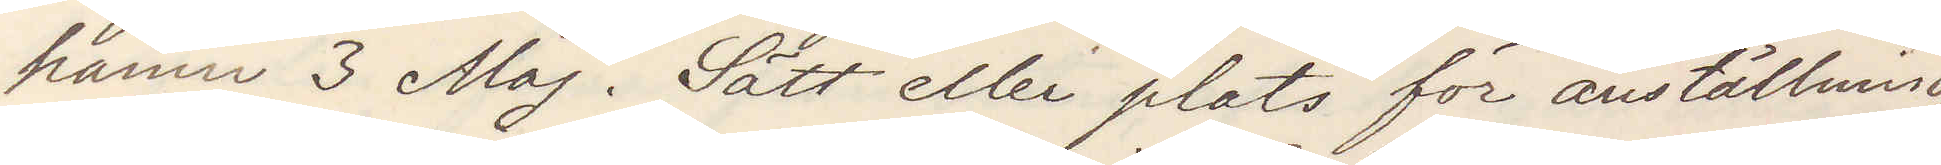hamn 3 Maj. Sätt eller plats för anställning
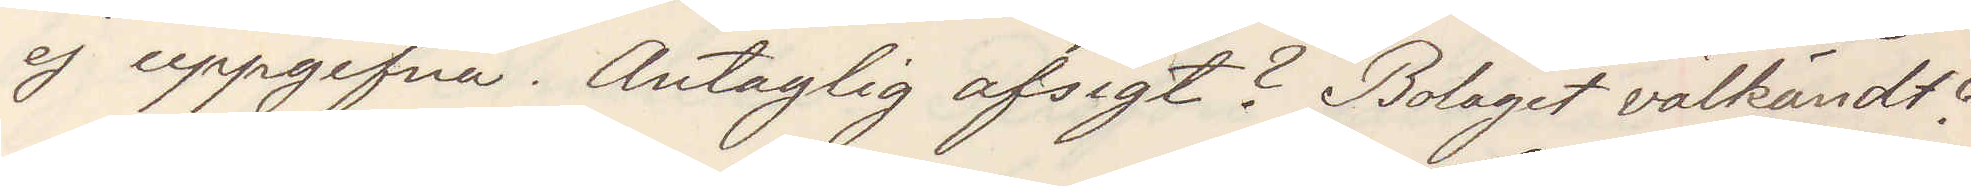ej uppgifna. Antaglig afsigt? Bolaget välkändt?
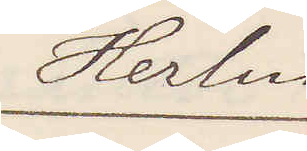Herlin
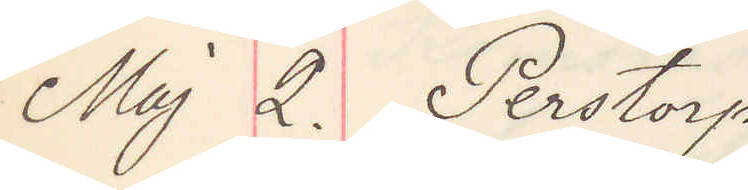Maj 2. Perstorp
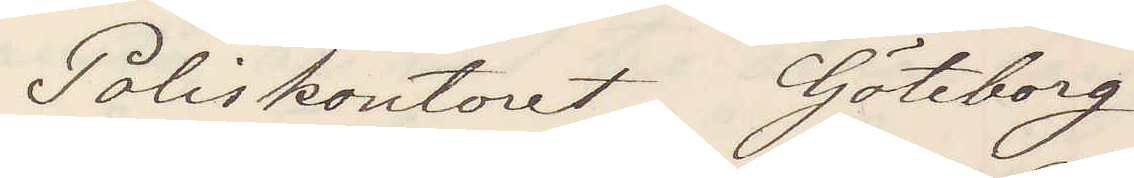Poliskontoret Göteborg
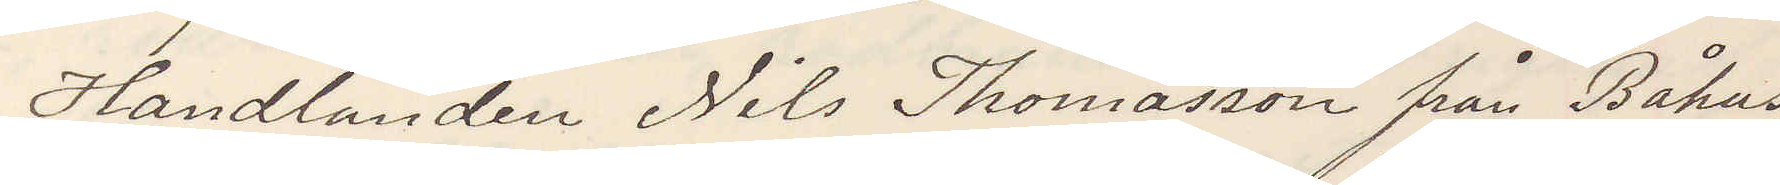Handlanden Nils Thomasson från Båhus,
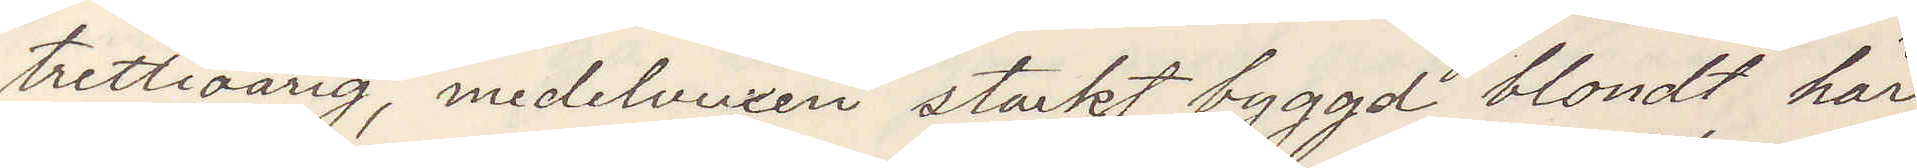trettioårig, medelvuxen starkt byggd blondt hår,
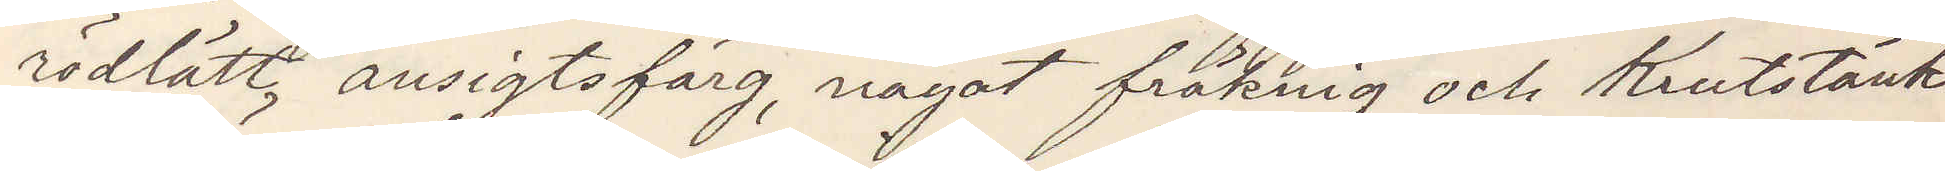rödlätt ansigtsfärg, något fräknig och Krutstänkt
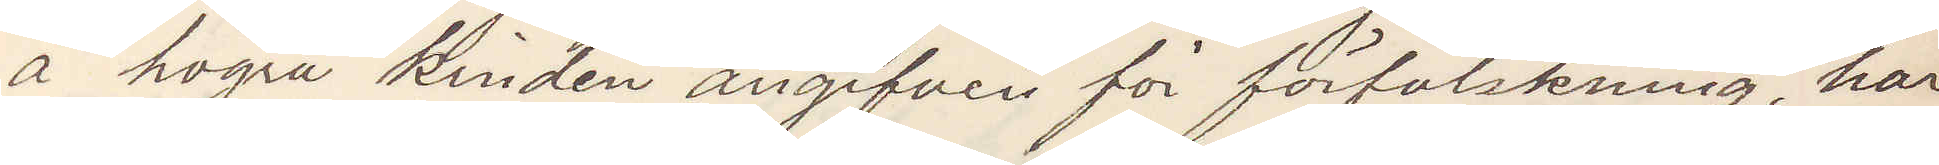å högra kinden angifven för förfalskning, har
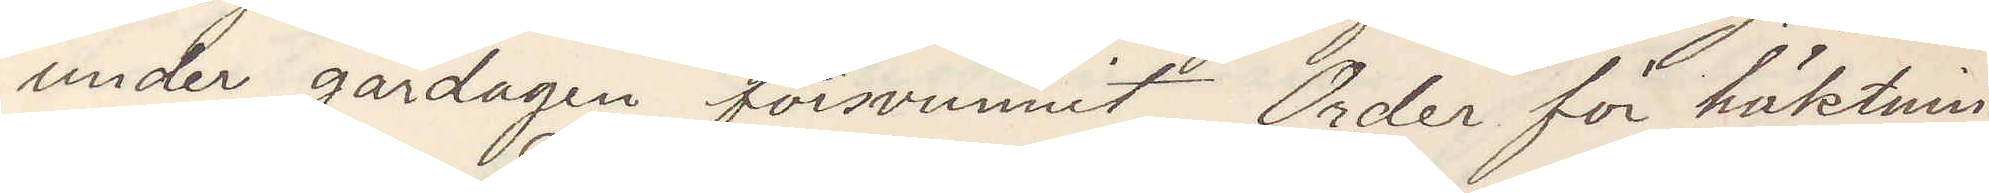under gårdagen försvunnit Order för häktning
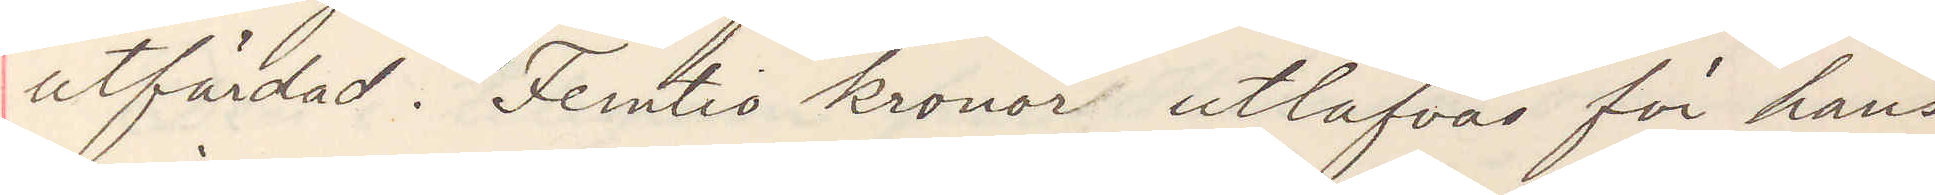utfärad. Femtio kronor utlåfvas för hans
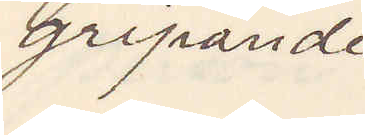gripande
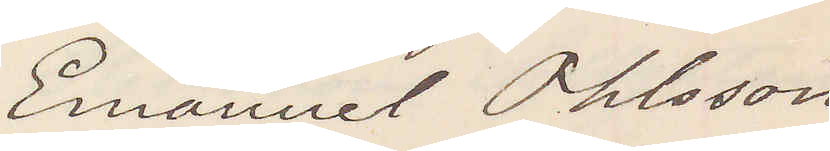Emanuel Ohlsson
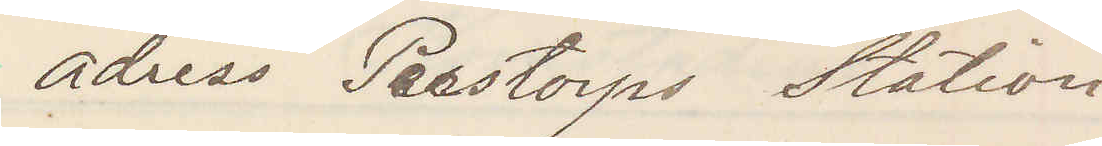adress Perstorps station
